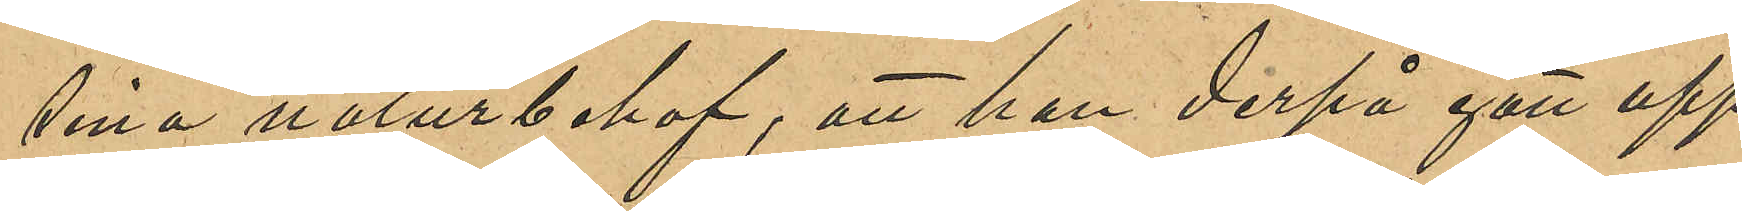sina naturbehof; att han derpå gått upp
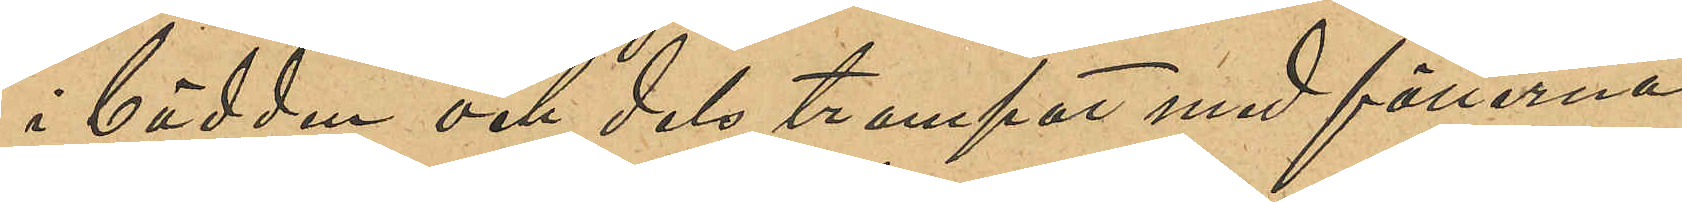i bädden och dels trampat med fötterna
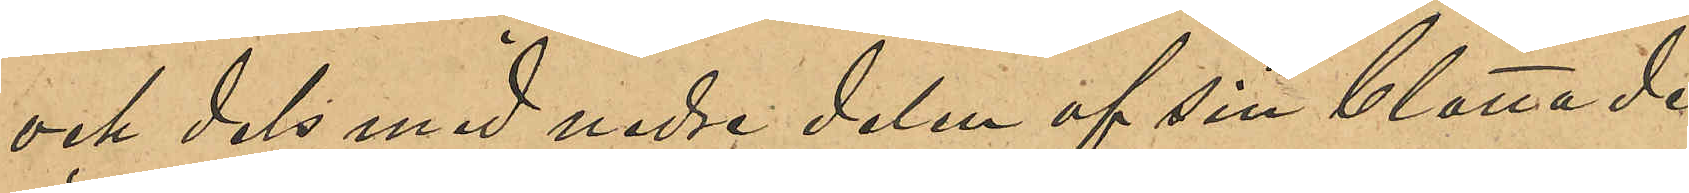och dels med nedre delen af sin blottade
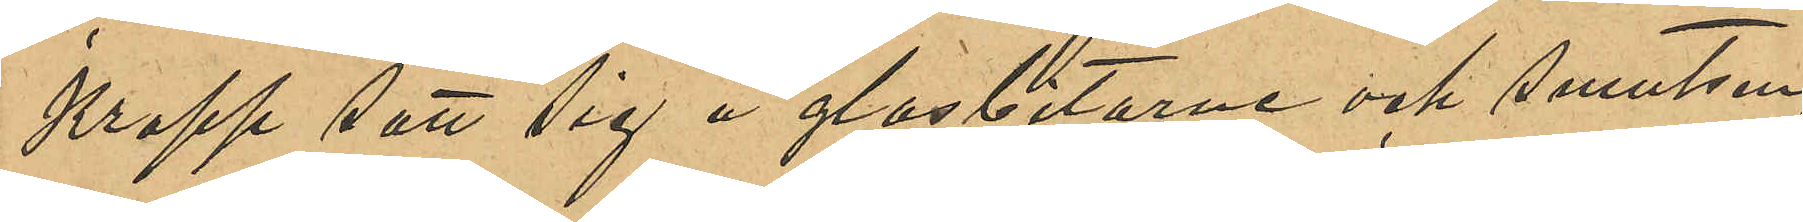kropp satt sig å glasbitarne och smutsen;
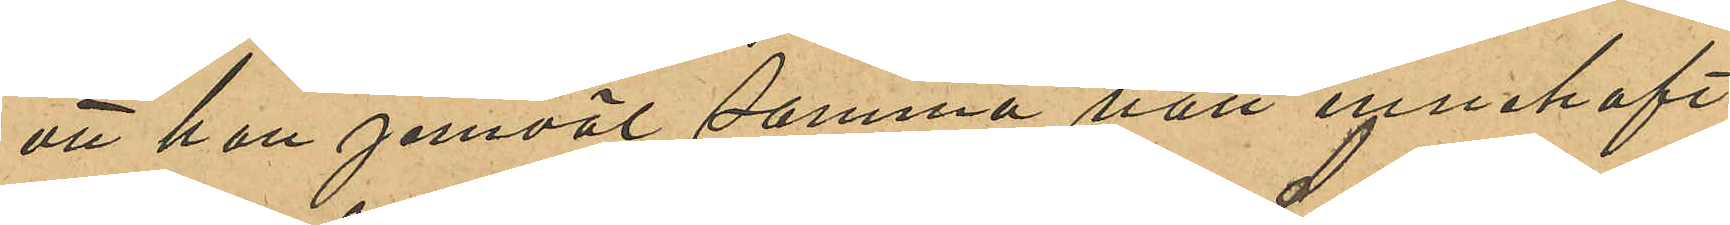att han jemväl samma natt innehaft
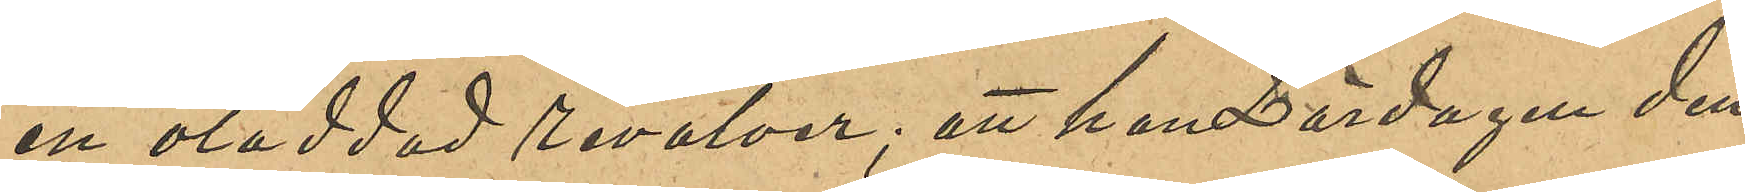en oladdad revolver; att Lördagen den
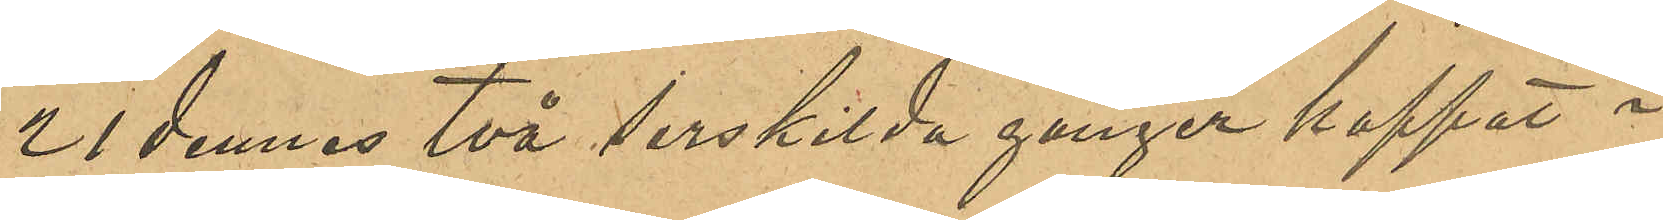21 dennes två enskilda gånger hoppat i
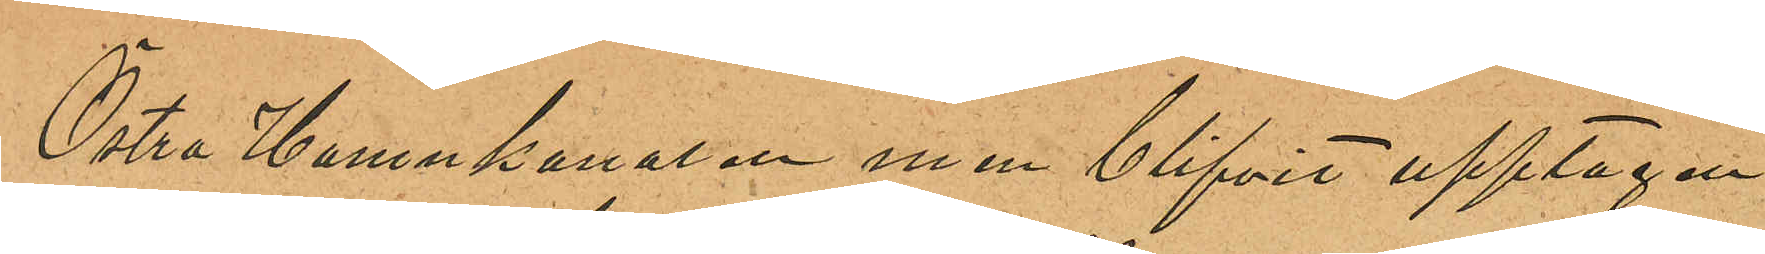Östra Hamnkanalen men blifvit upptagen
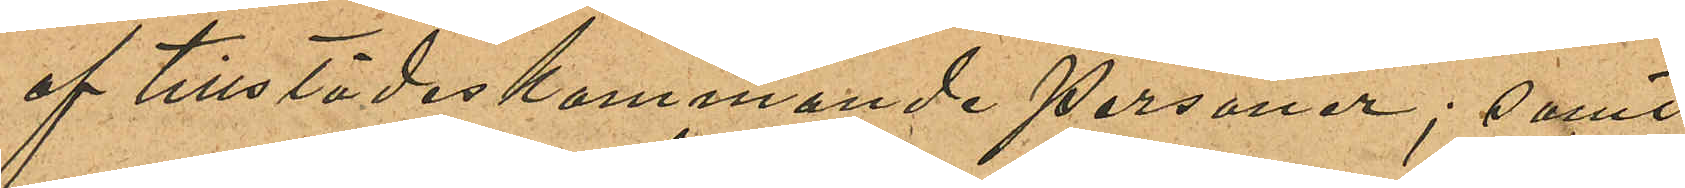af tillstädeskommande personer; samt
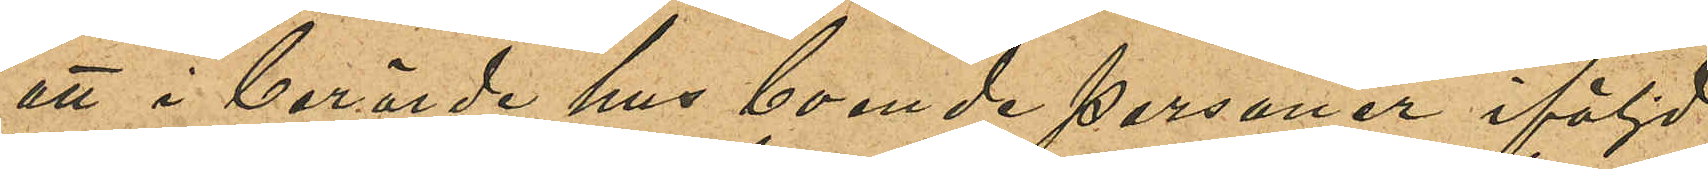att i berörde hus boende personer iföljd
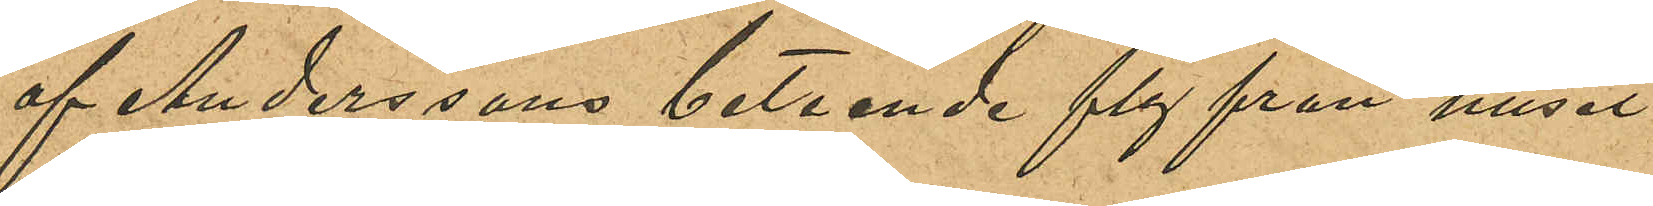af Anderssons beteende fly från huset
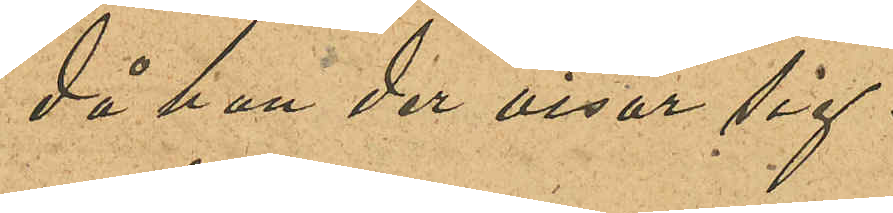då han der visar sig.
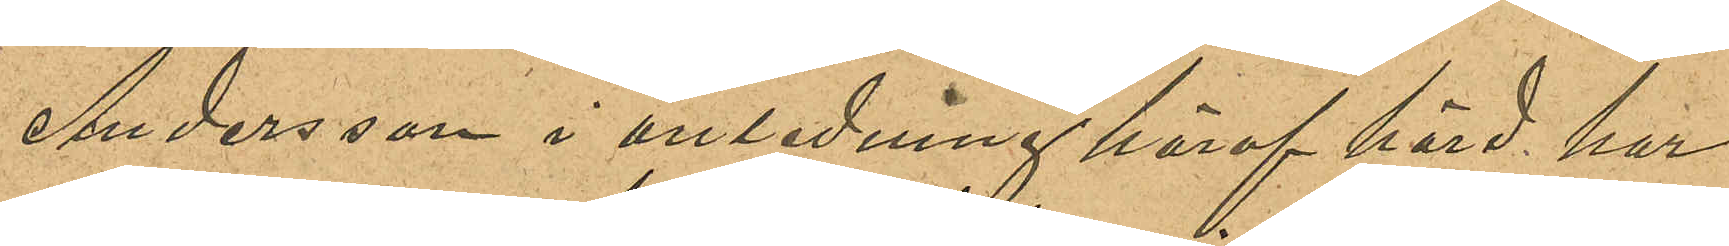Andersson i anledning häraf hörd har
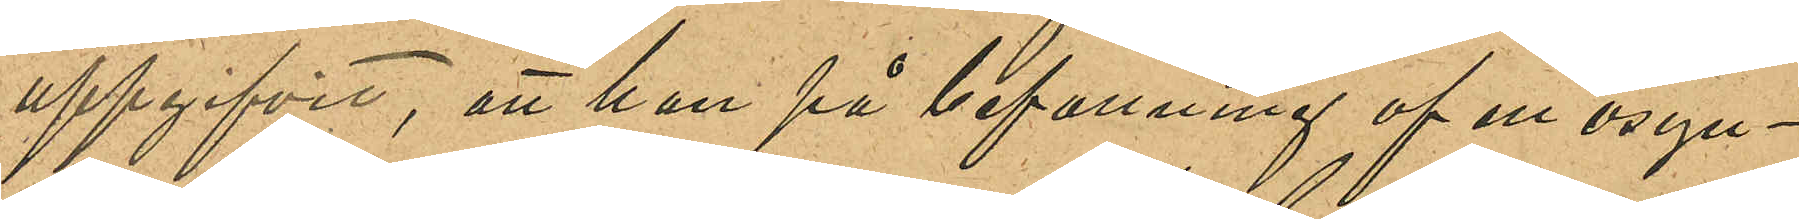uppgifvit, att han på befallning af en osyn¬
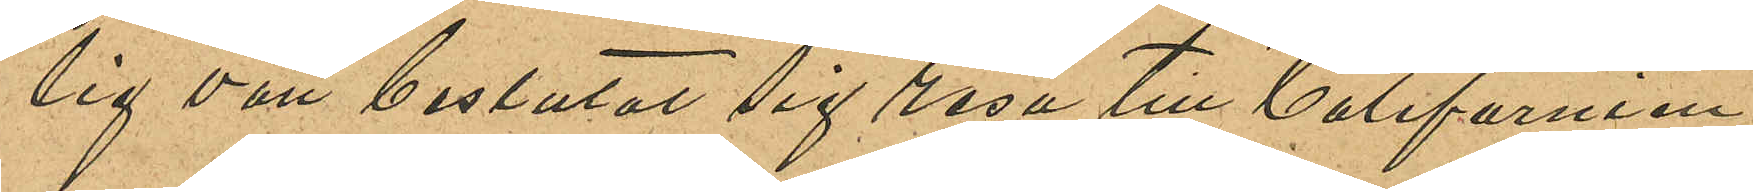lig vän beslutat sig resa till Californien;
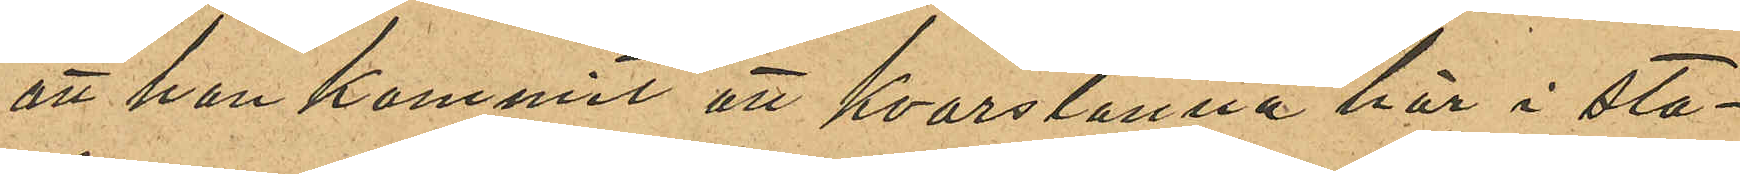att han kommit att kvarstanna här i sta¬
